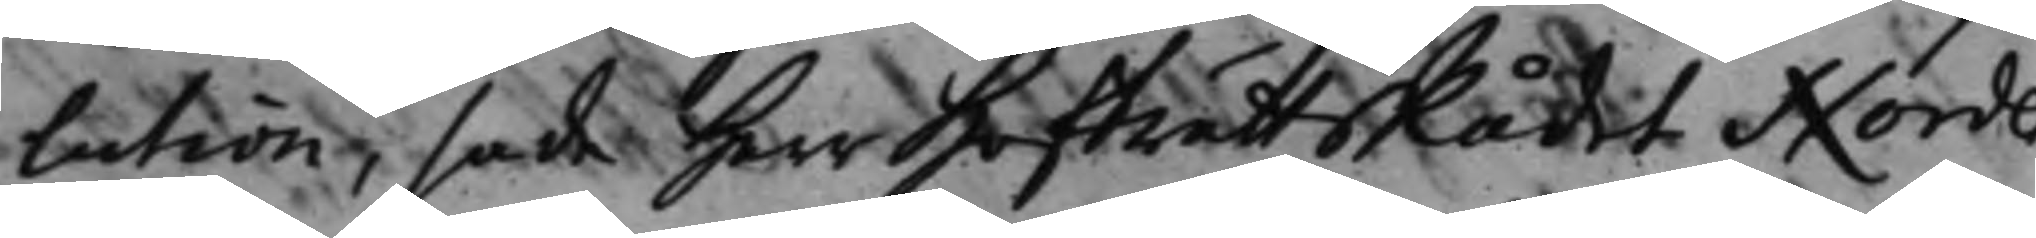lution, sade Herr HofrättsRådet Norden¬
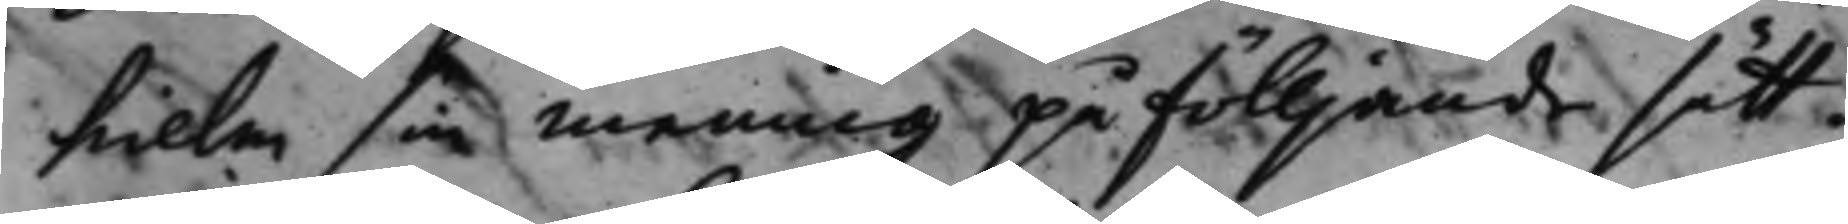hielm sin mening på fölljande sätt:
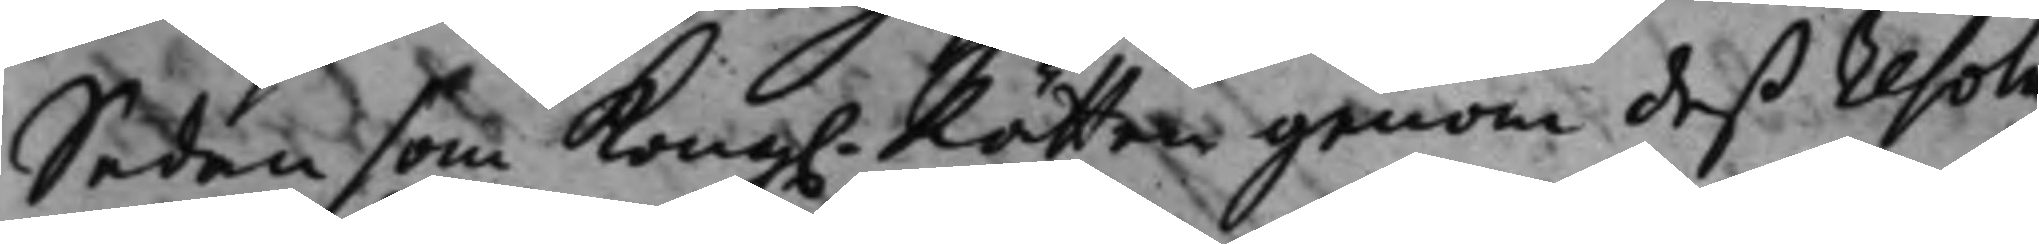Sedan som Kong. Rätten genom deß resolu¬
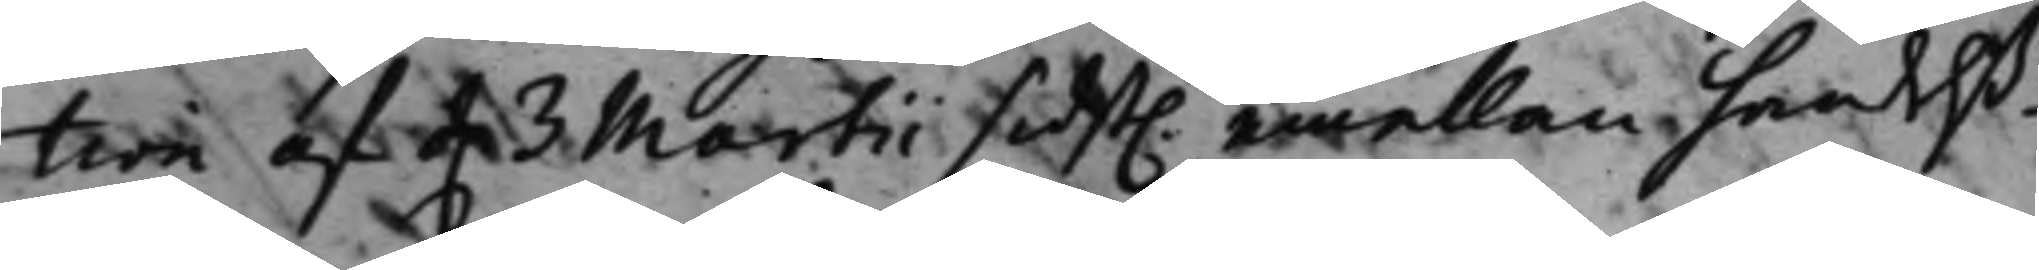tion af d. 3 Martii sidst. emellan handelß¬
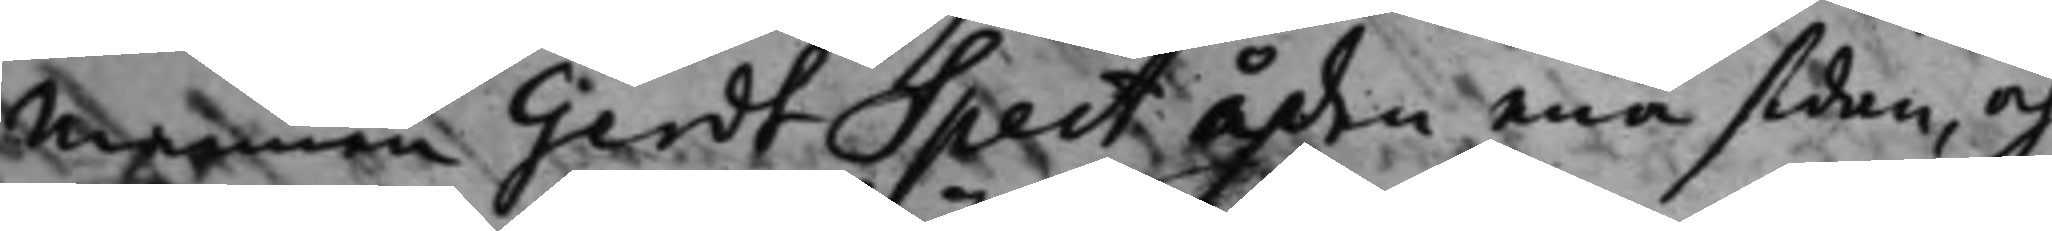mannen Gerdt Spect å den ena sidan, och
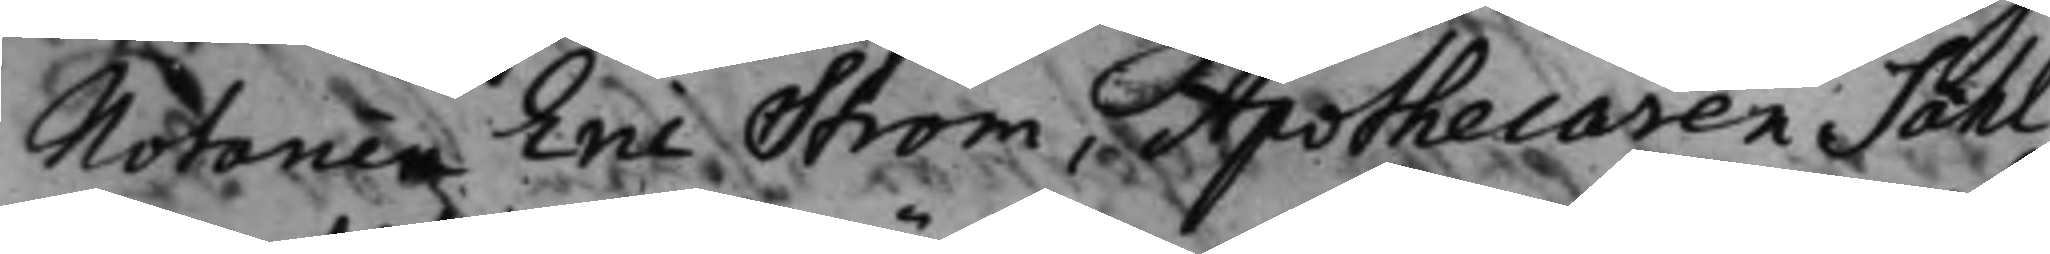Notarien Eric Ström, Apothecaren Sahl¬
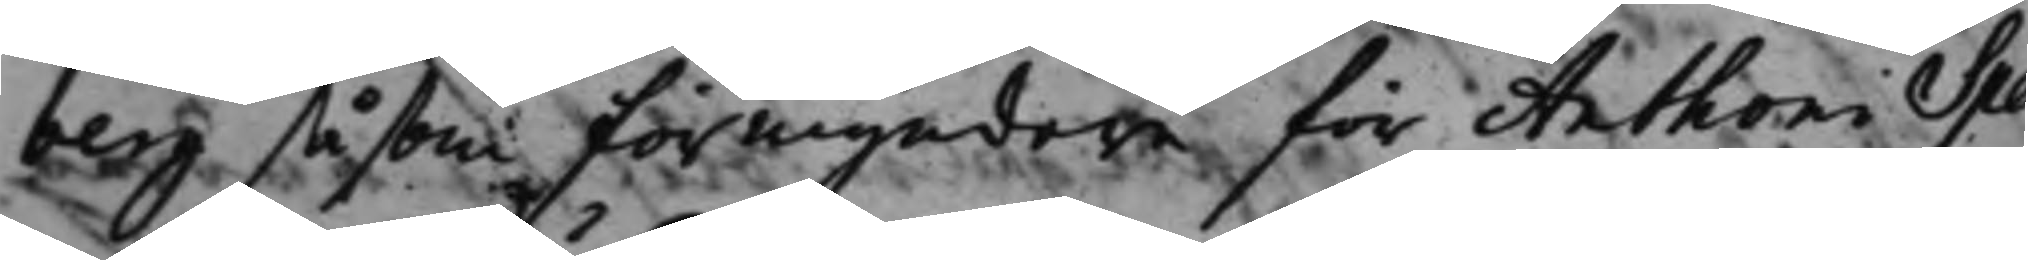berg såsom förmyndare för Anthon Spe
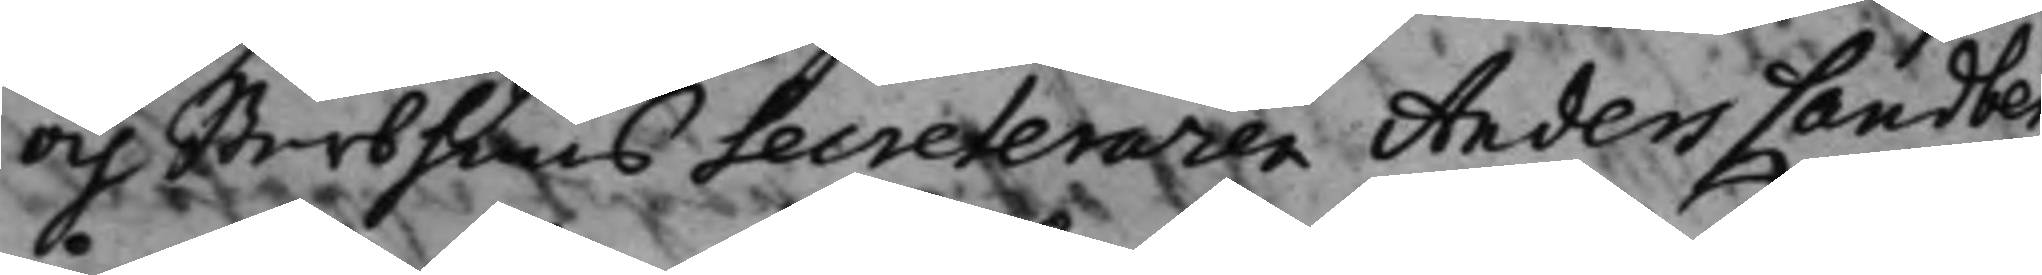och Sterbhuus secreteraren Anders Landberg
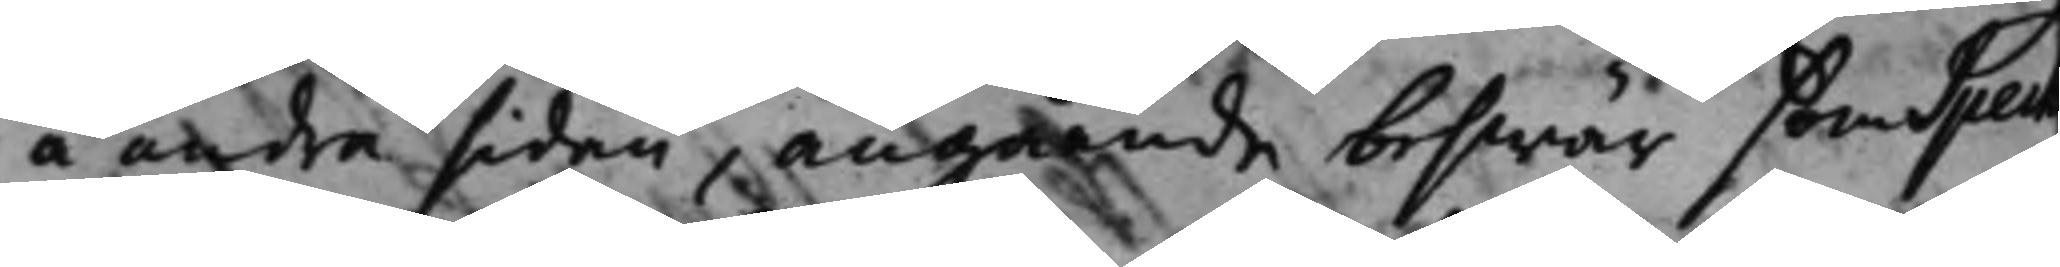å andra sidan, angående beswär som Spech
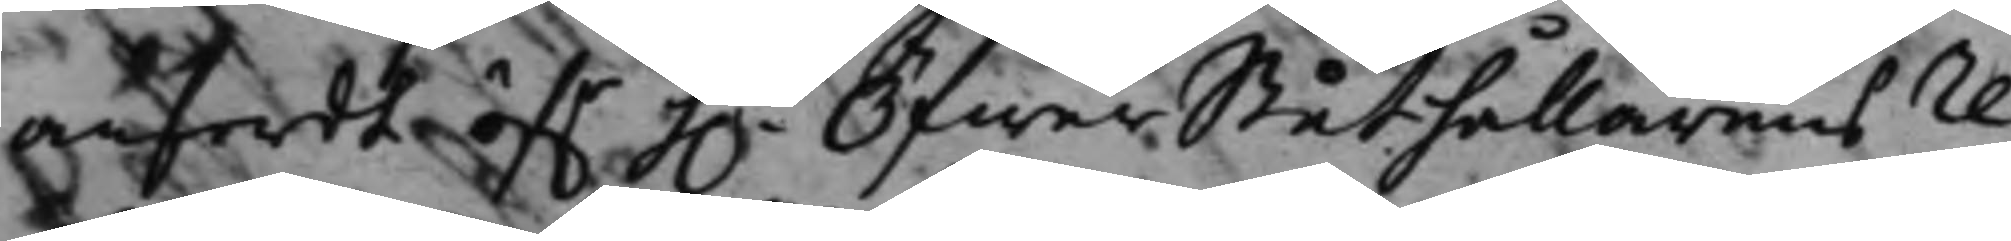anfördt öf.r h.r ÖfwerStåthållarens re¬
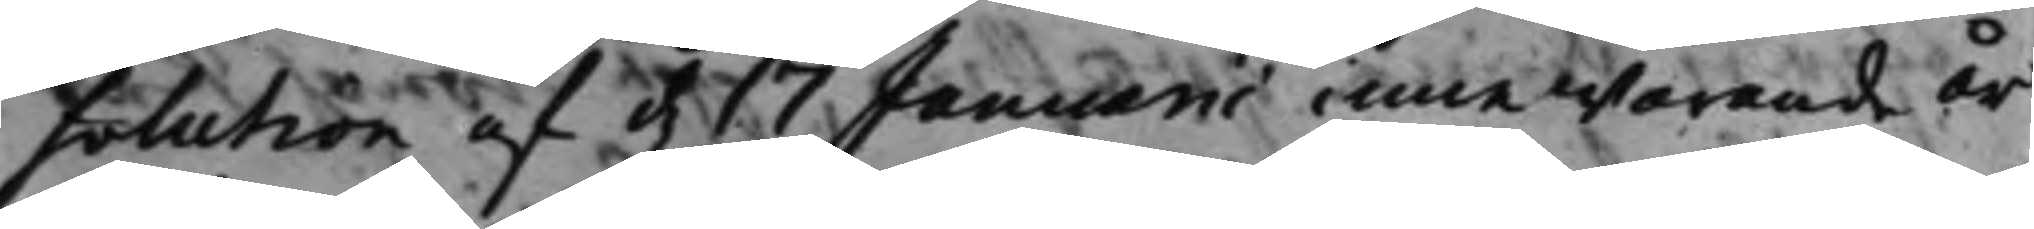solution af d. 17 Januarii innewarande år
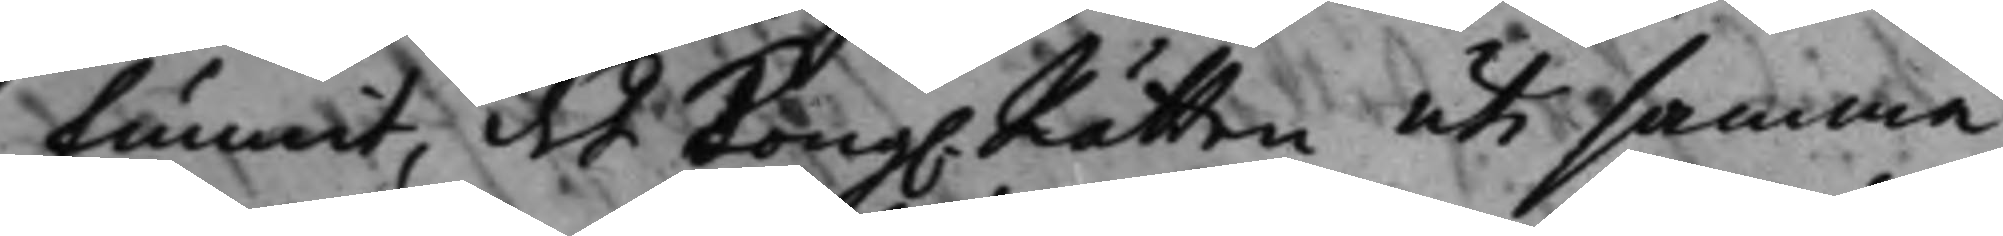funnit, det Kong. Rätten uti samma
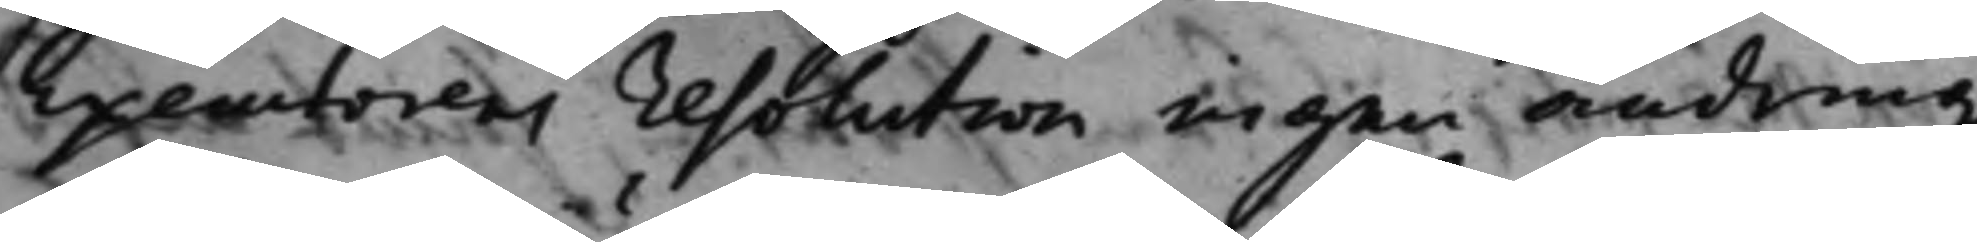executorens resolution ingen ändring
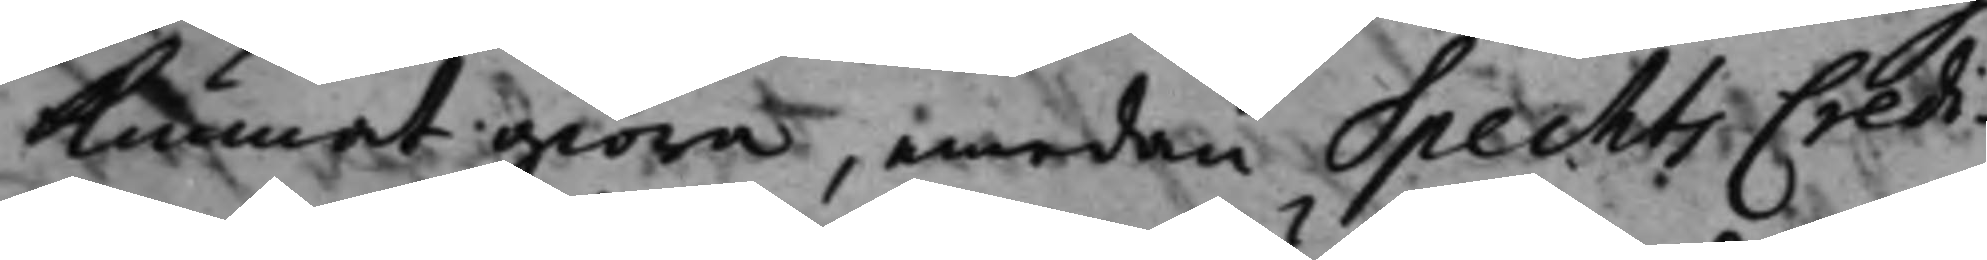Kunnat giöra, emedan Spechts Credi¬
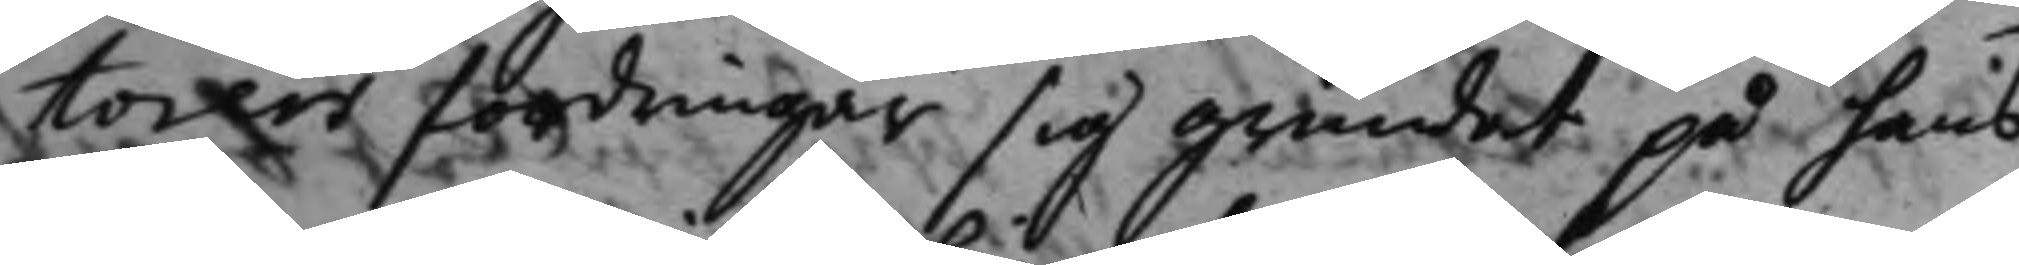torers fordringar sig grundat på hans
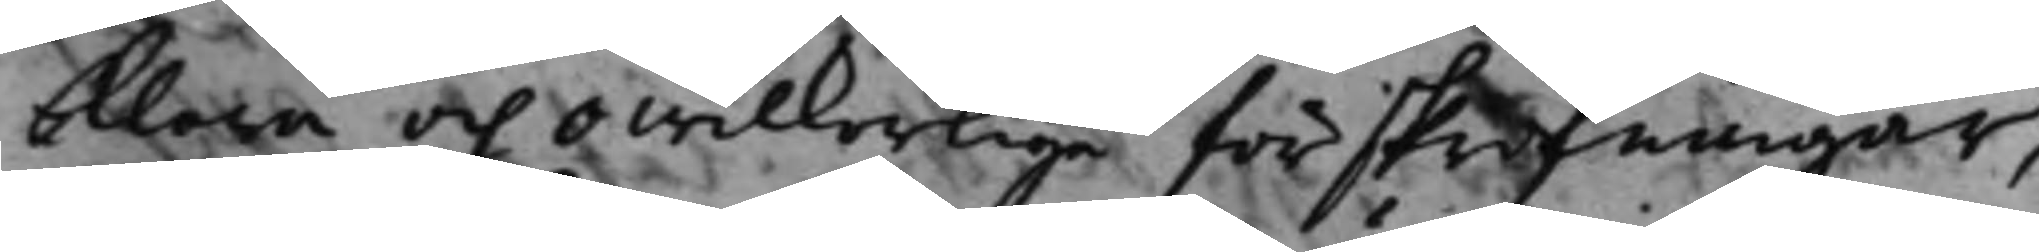klara och owilkorliga förskrifningar,
